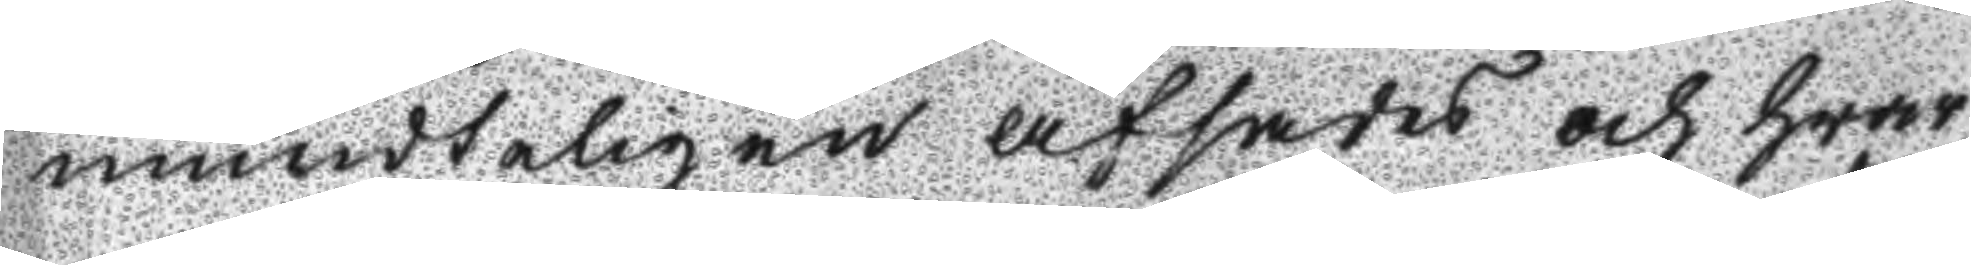mundteligen afsades och hwar
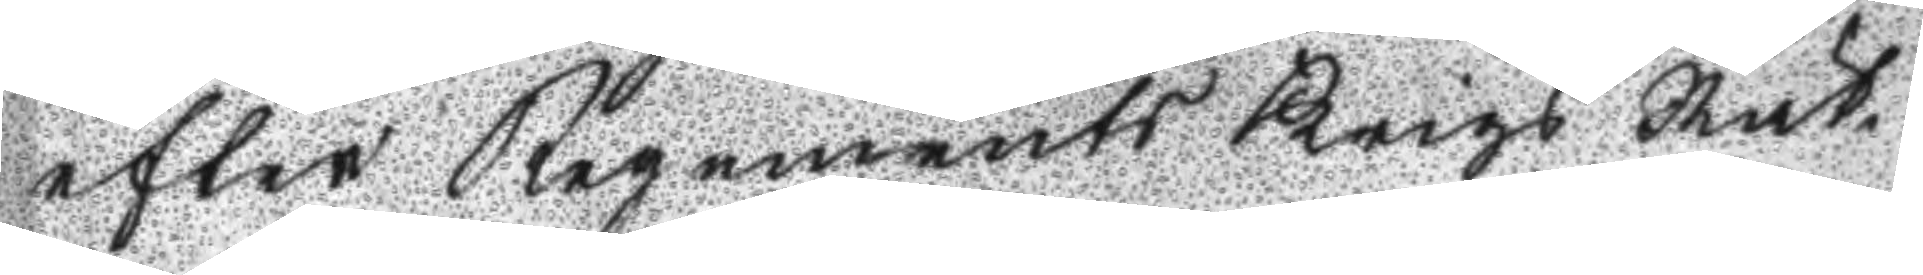efter Regements Krigs Rät¬
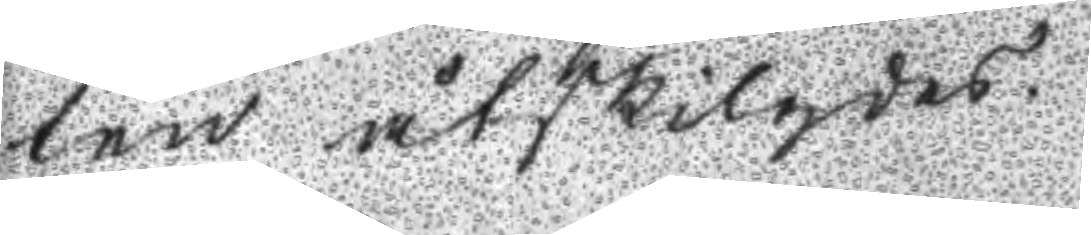ten åtskilgdes.
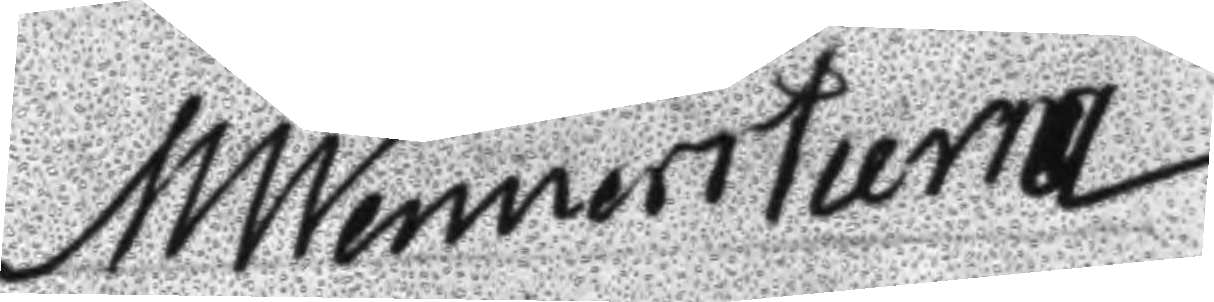M Wennerstierna
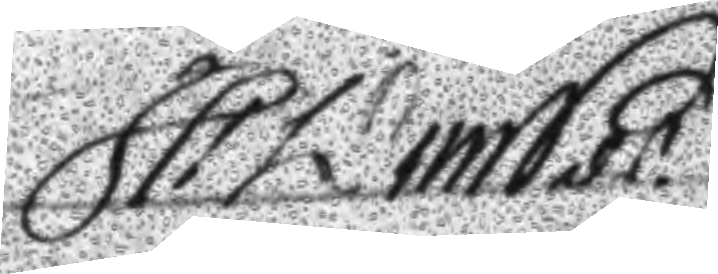H Winsd
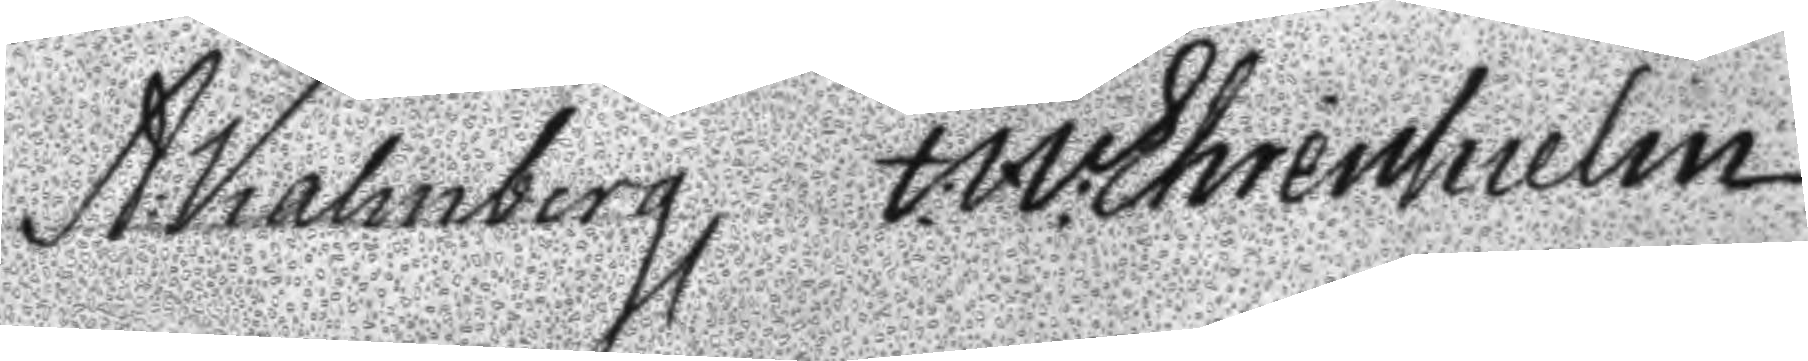A. Kalmberg I W Ehrenhielm
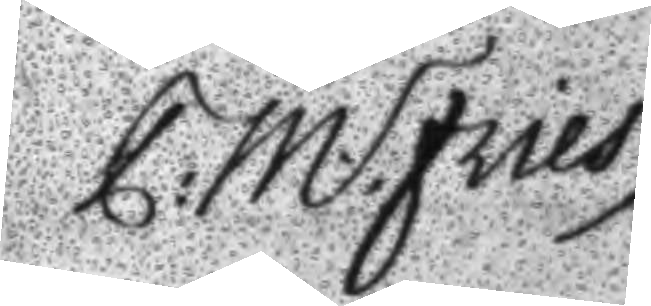P: M: Fries
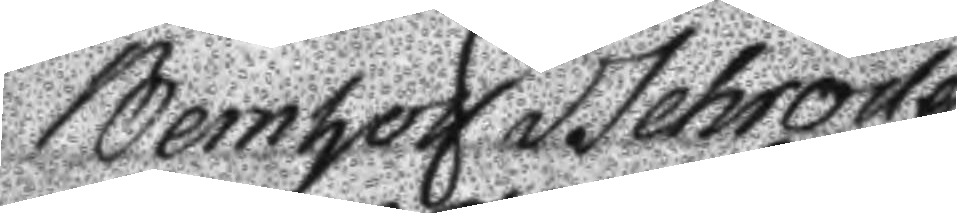Bernhof Schröder
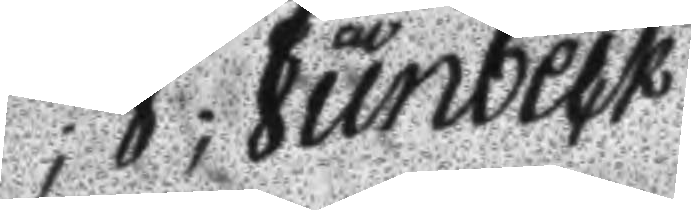P; J; Junbeck
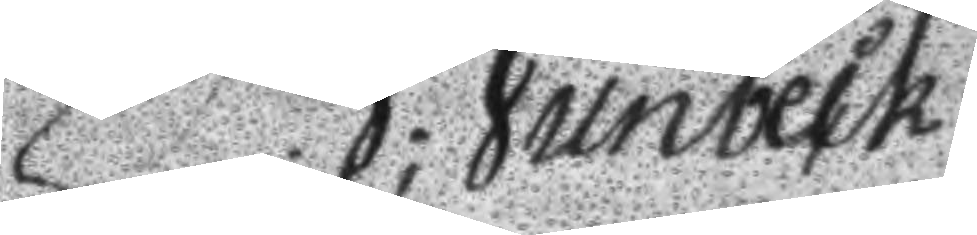P; J; Junbeck
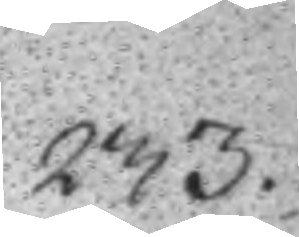233.
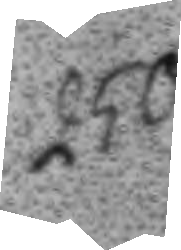250.
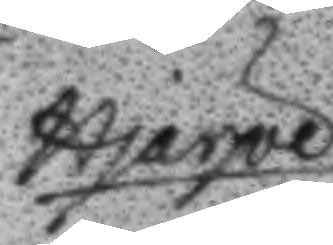Hjärpe 
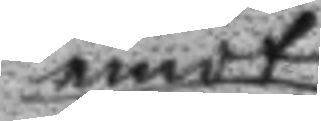emot
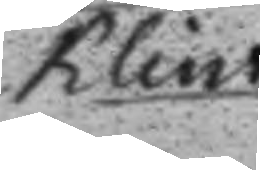Klint.	
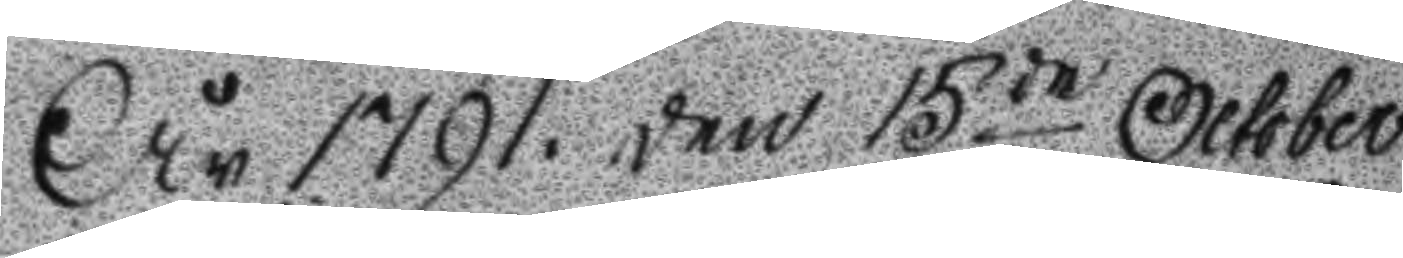År 1791. den 15de October
